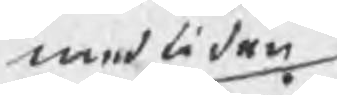med tiden
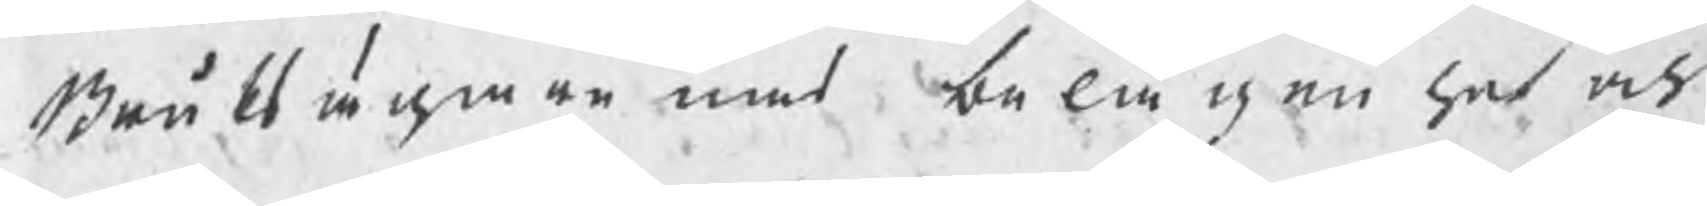Bruksägarenas belägenhet och
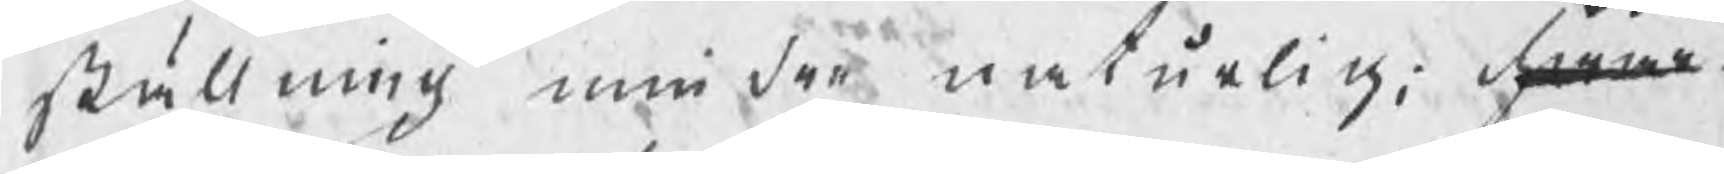ställning mindre naturlig; hwar¬
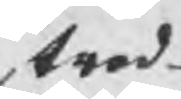trod¬
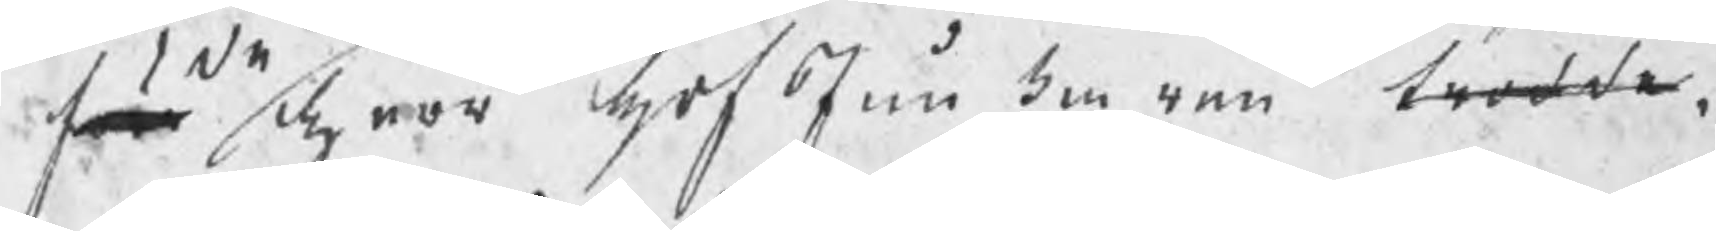före herr hofJunkaren trodde
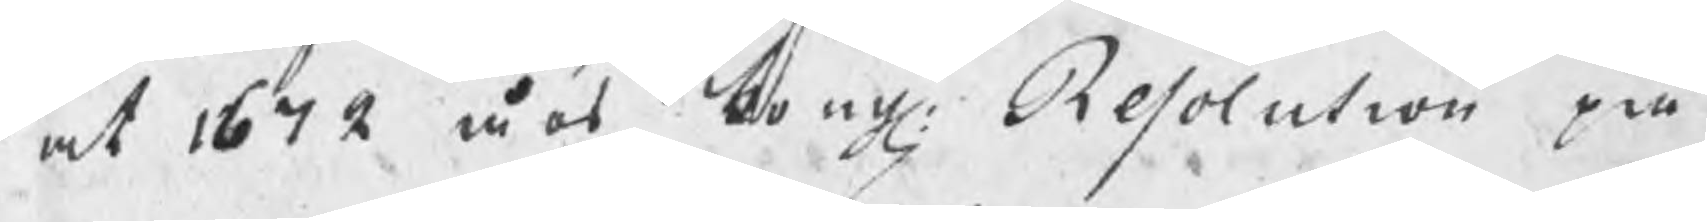at 1672 års kongl: Resolution på
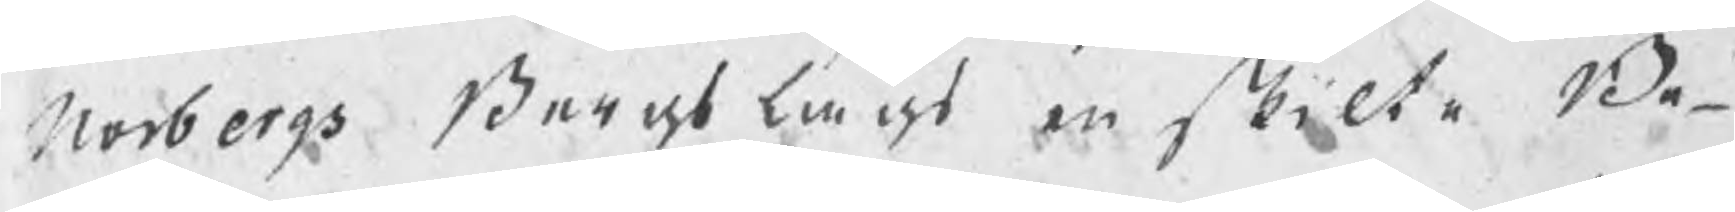Norbergs Bergslags enskilte Be¬
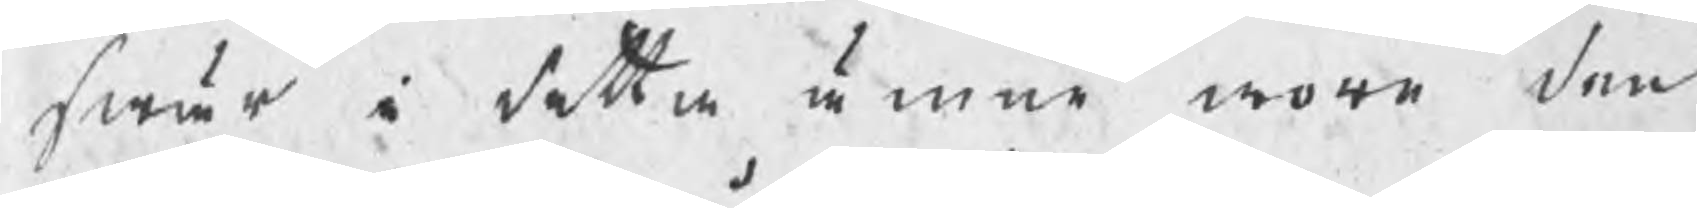swär i detta ämne wore den
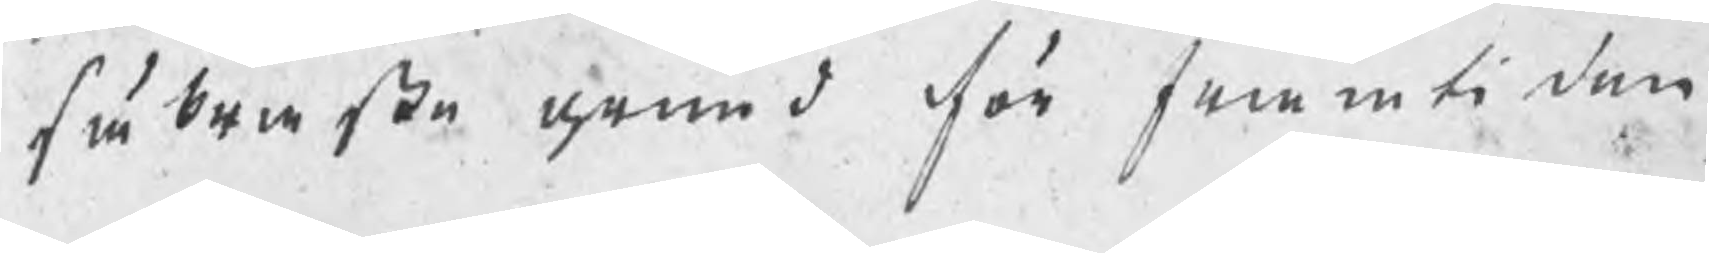säkraste grund för framtiden
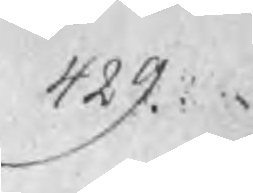429.
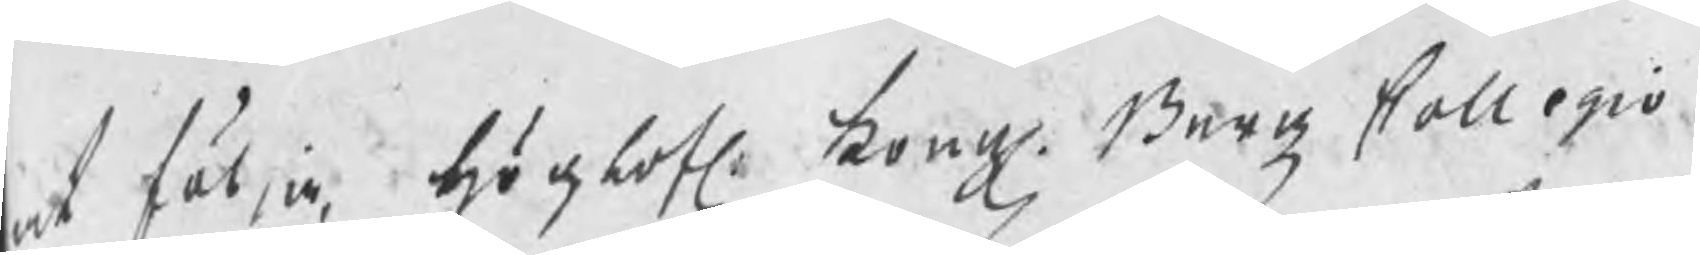at följa, höglofl: kongl. BergzCollegio
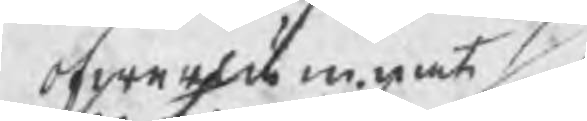ofwerlämnat
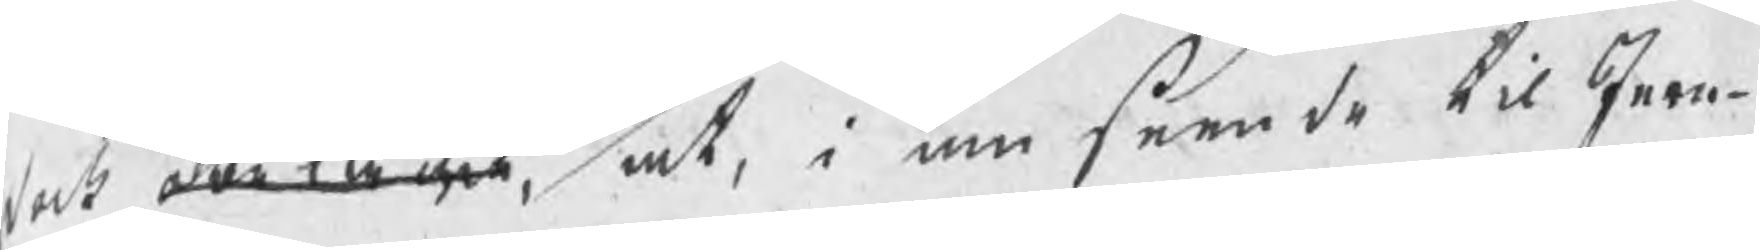dock antagit, at, i anseende til Jern¬
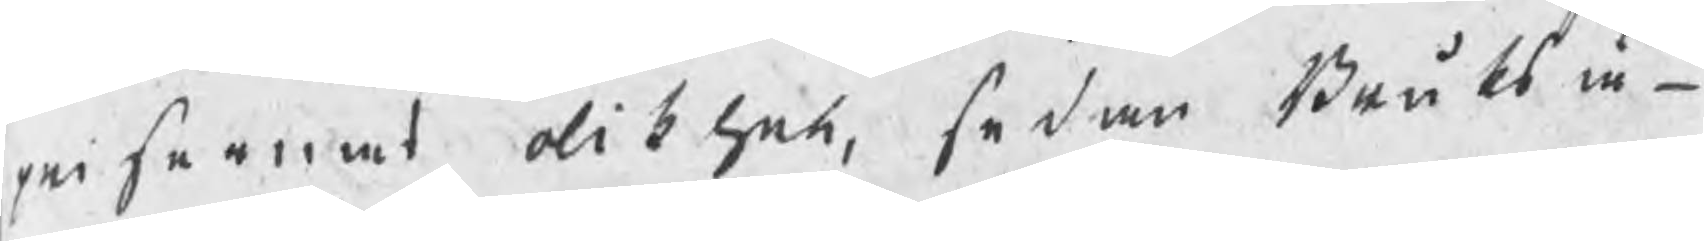prisernas olikhet, sedan Bruksä¬
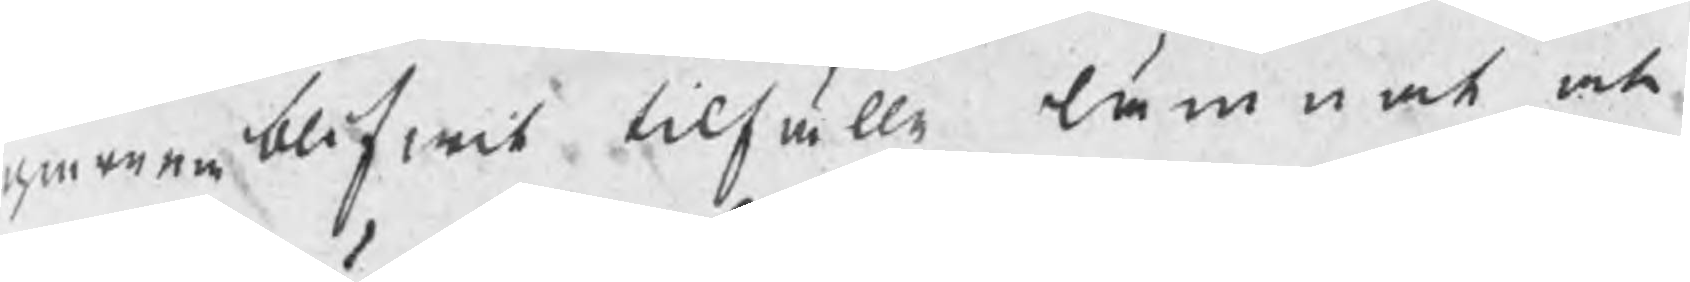garena blifwit tilfälle lämnat at
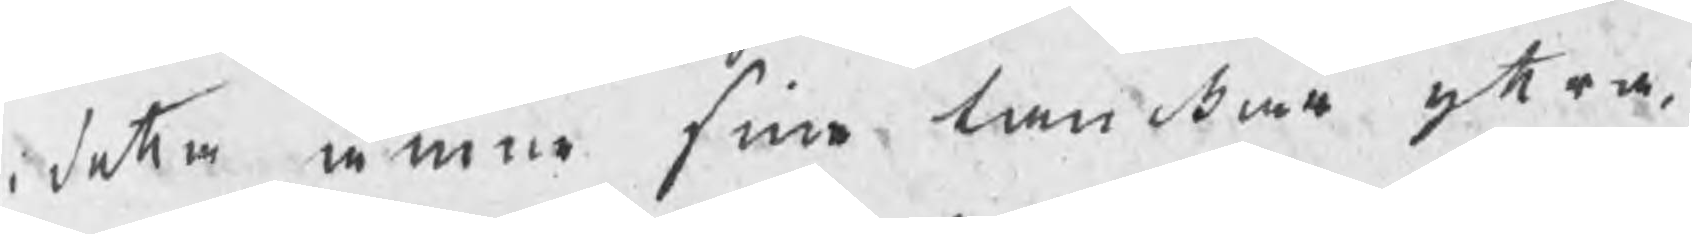i detta ämna sine tankar yttre,
